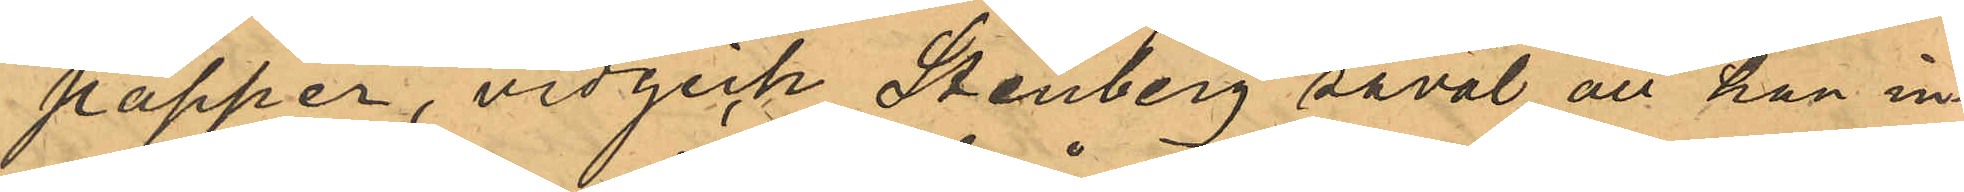papper, vidgick Stenberg såväl att han in¬
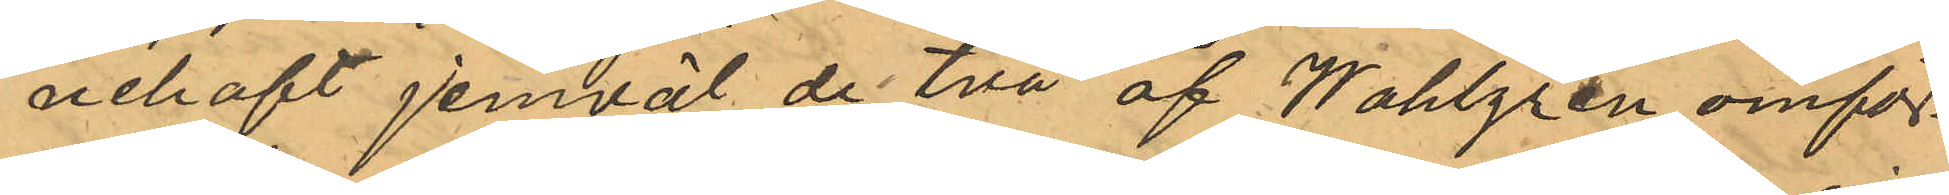nehaft jemväl de två af Wahlgren omför¬
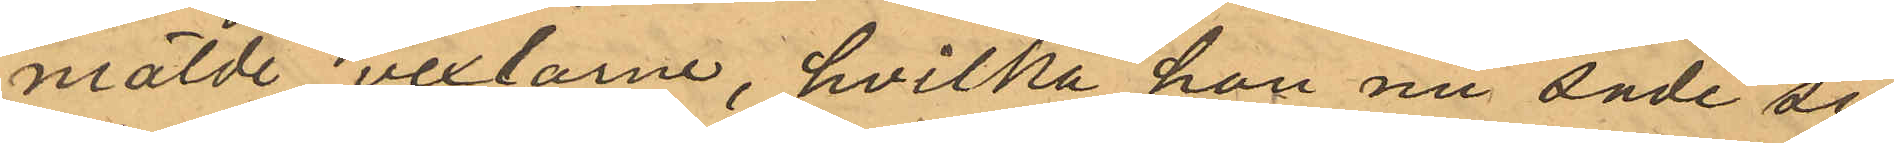mälde vexlarne, hvilka han nu sade sig
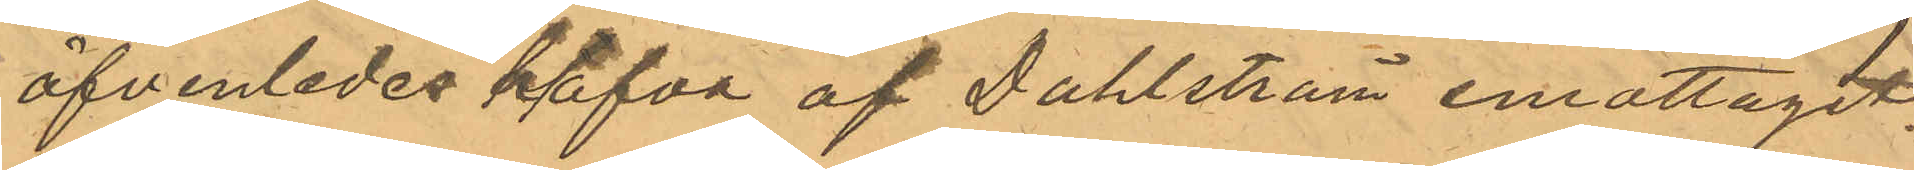äfvenledes hlafva af Dahlström emottagit
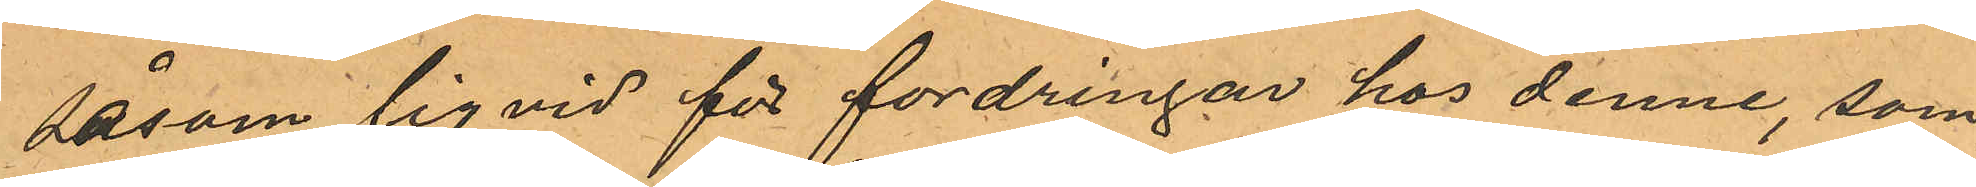såsom liqvid för fordringar hos denne, som
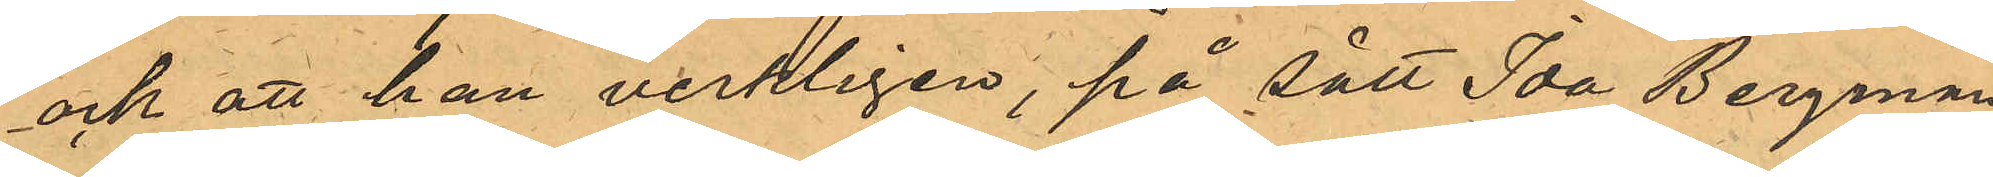ock att han verkligen, på sätt Ida Bergman
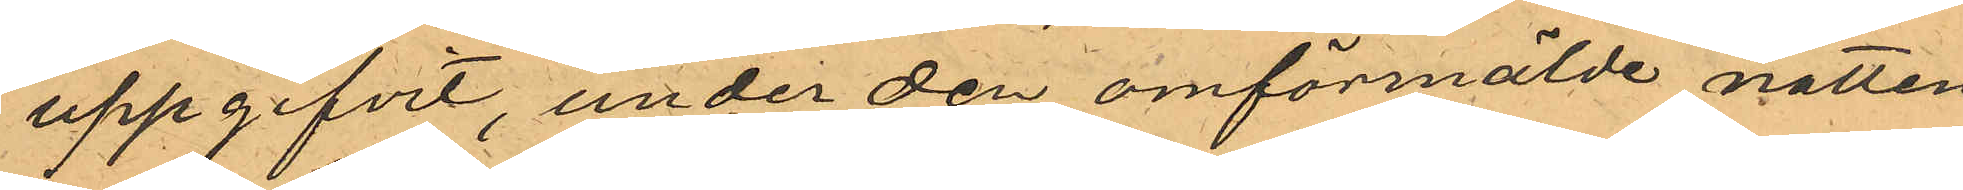uppgifvit, under den omförmälde natten
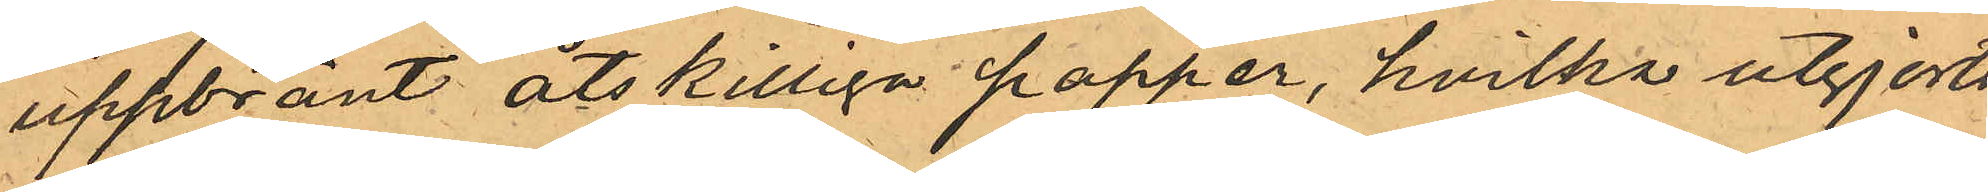uppbränt åtskilliga papper, hvilka utgjorts
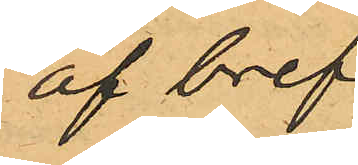af bref.
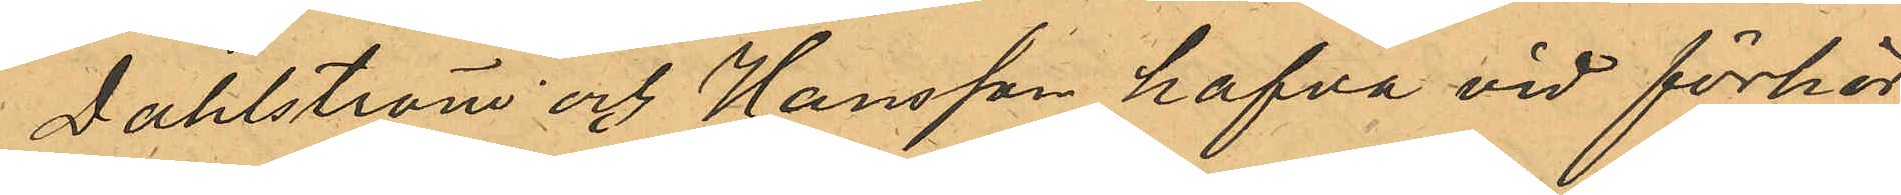Dahlström och Hansson hafva vid förhör,
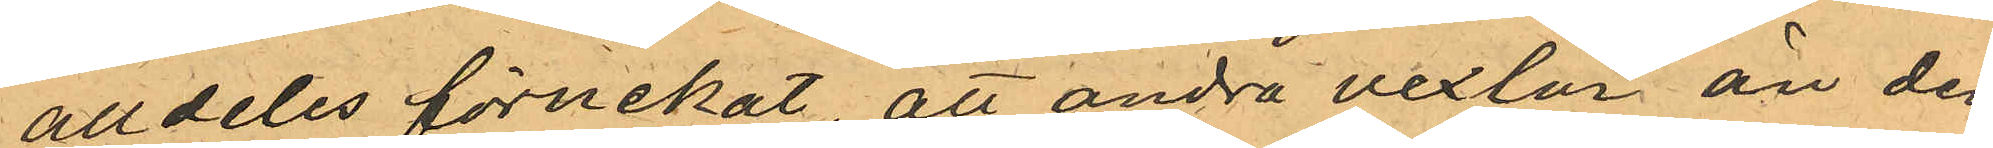alldeles förnekat, att andra vexlar än dem,
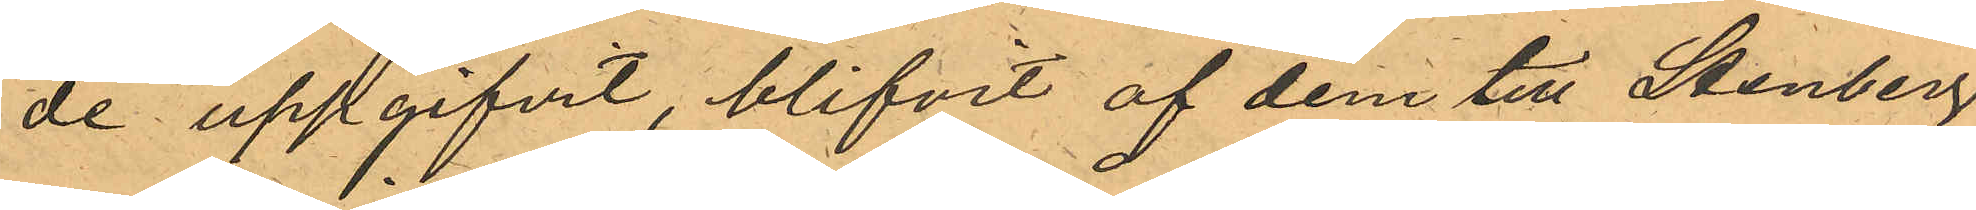de uppgifvit, blifvit af dem till Stenberg
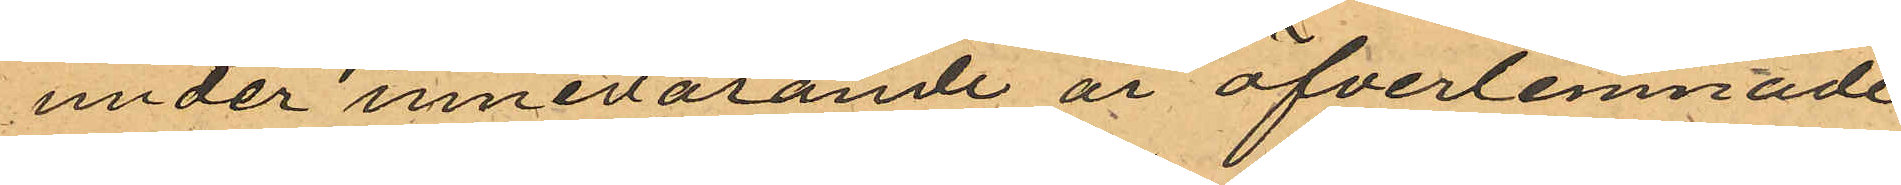under innevarande år öfverlemnade.
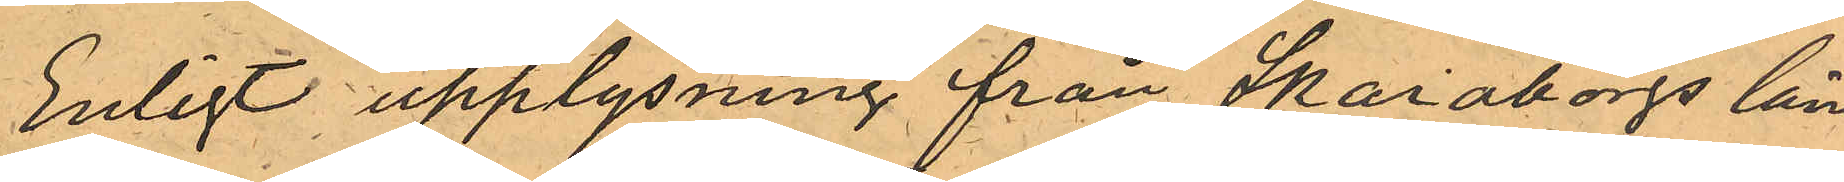Enligt upplysning från Skaraborgs läns
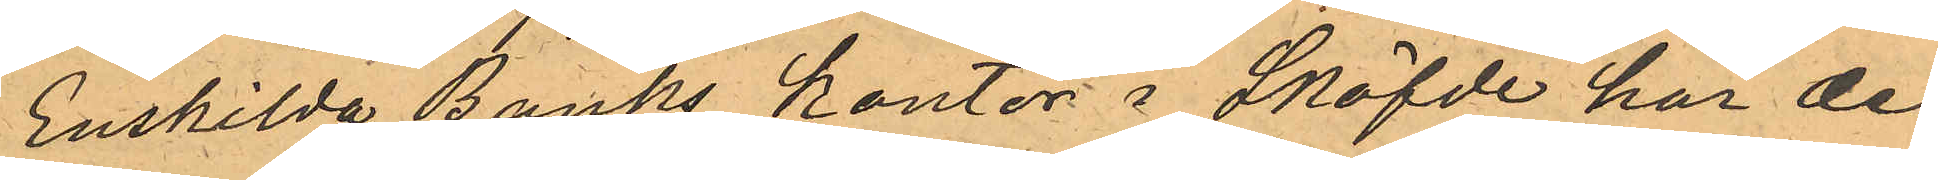Enskilda Banks kontor i Sköfde har den
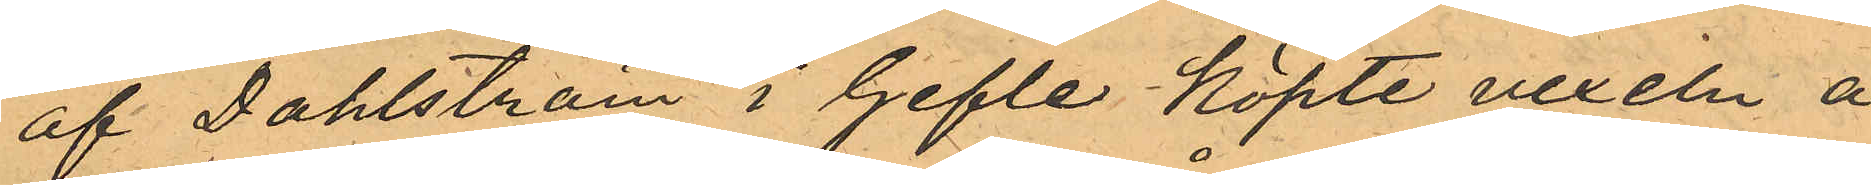af Dahlström i Gefle köpte vexeln å
